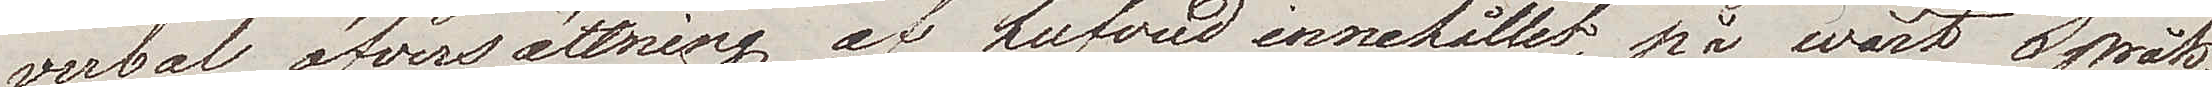verbal öfversättning af hufvudinnehållet, på wårt Språk,
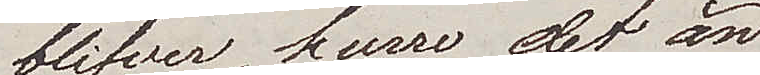blifver. huru det än
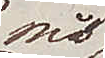må
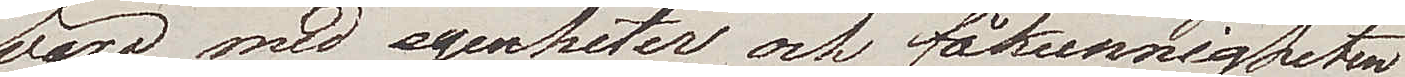vara med egenheter och fåkunnigheten,
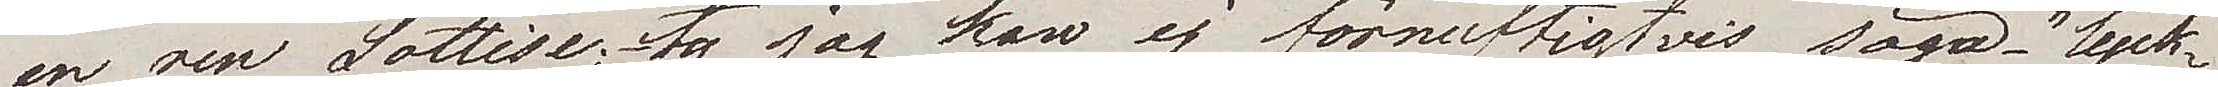en ren Sottise; ty jag kan ej förnuftigtvis säga – "lyck¬
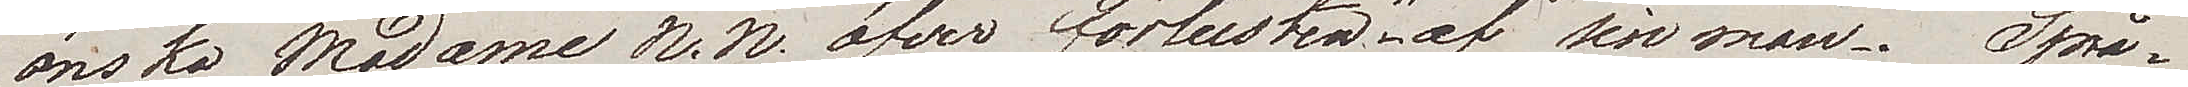önska Madame N. N. öfver förlusten" af sin man. Språ¬
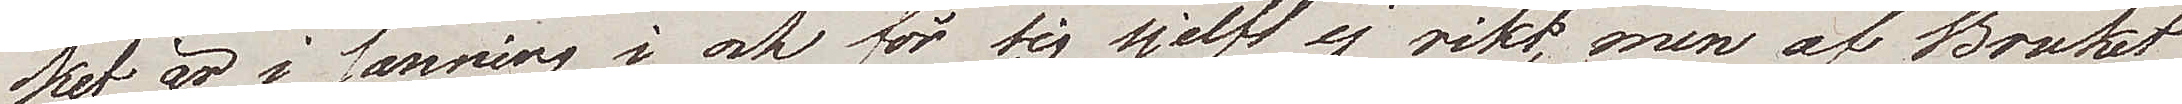ket är i sanning i och för sig sjelft ej rikt, men af Bruket
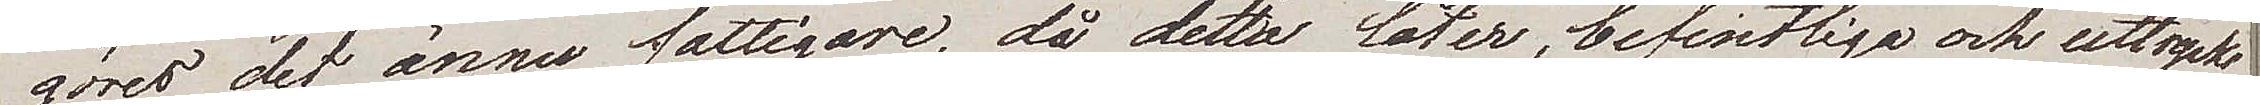göres det ännu fattigare, då detta låter, befintliga och uttrycks¬
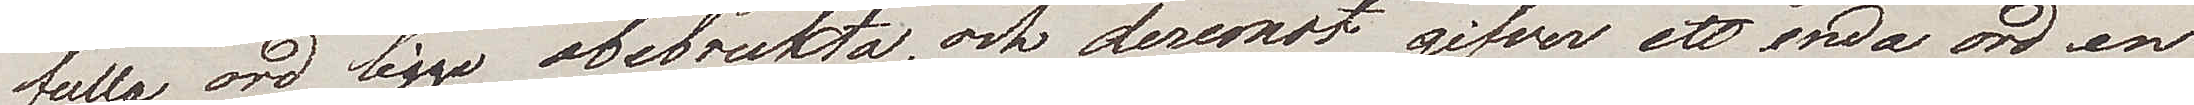fulla ord ligga obebrukta, och deremot gifver ett enda ord en
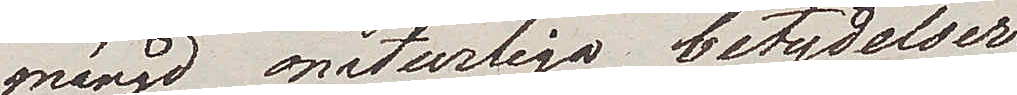mängd onaturliga betydelser.
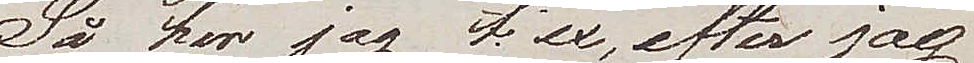Så har jag t.ex., efter jag
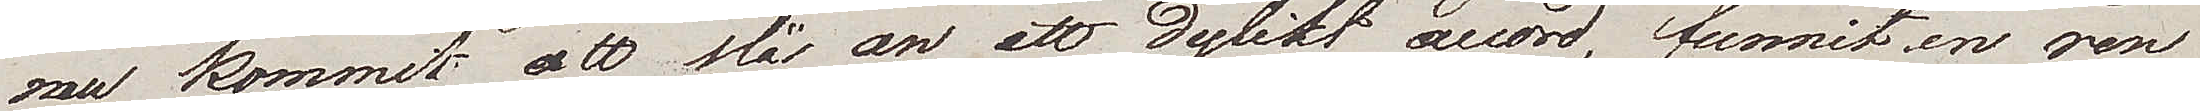nu kommit att slå an ett dylikt accord, funnit en ren
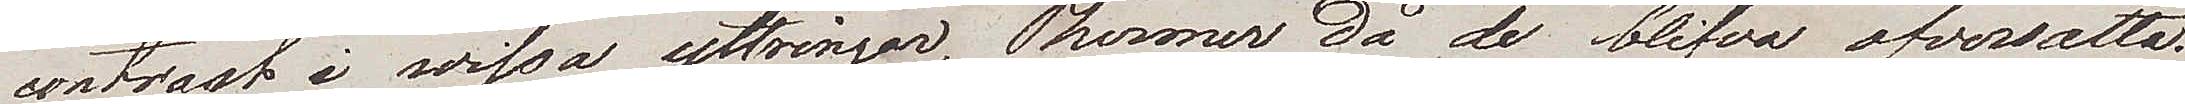contrast i vissa yttringar, Thermer då de blifva öfversatta.
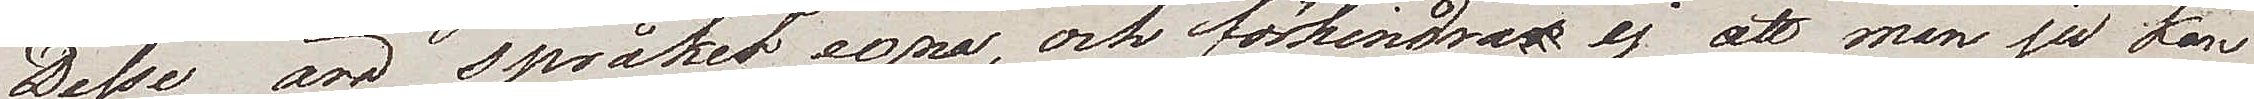Desse äro språkets egna, och förhindra ej att man ju kan
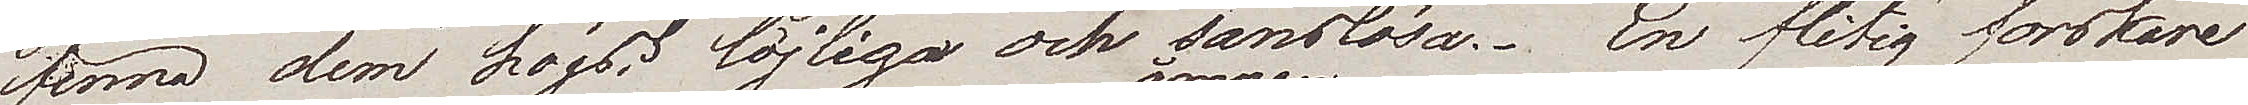finna dem högst löjliga och sanslösa. En flitig forskare
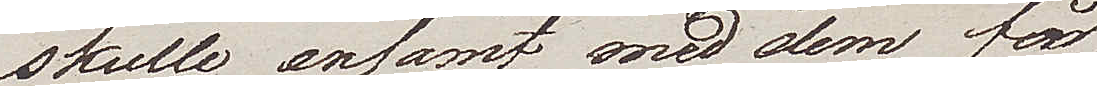skulle ensamt med dem få
